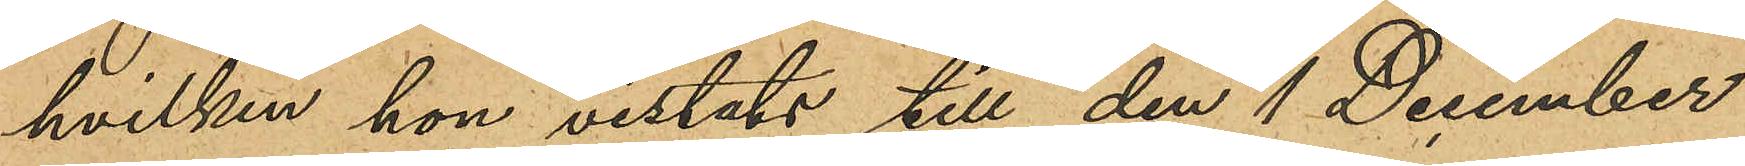hvilken hon vistats till den 1 December
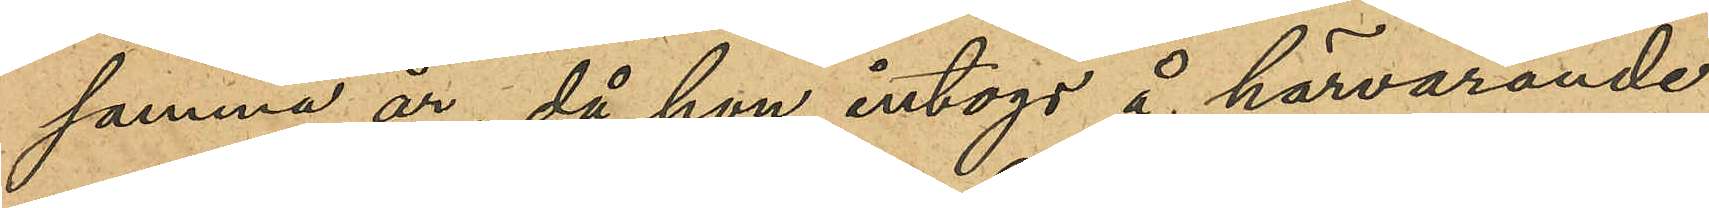samma år, då hon intogs å härvarande
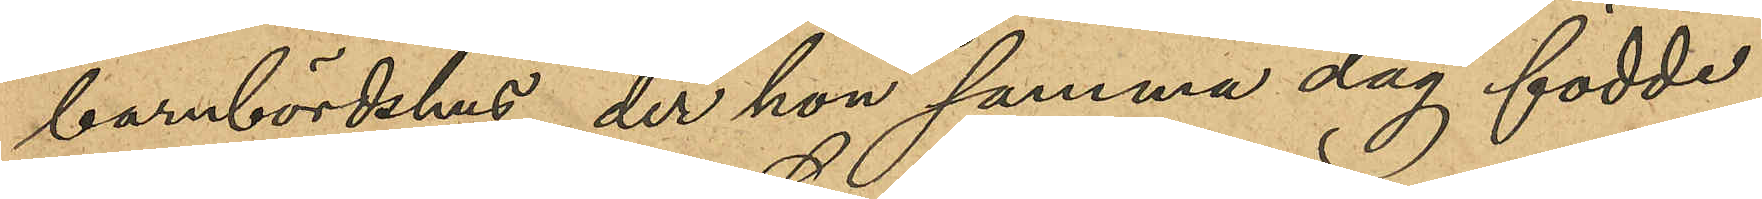barnbördshus, der hon samma dag födde
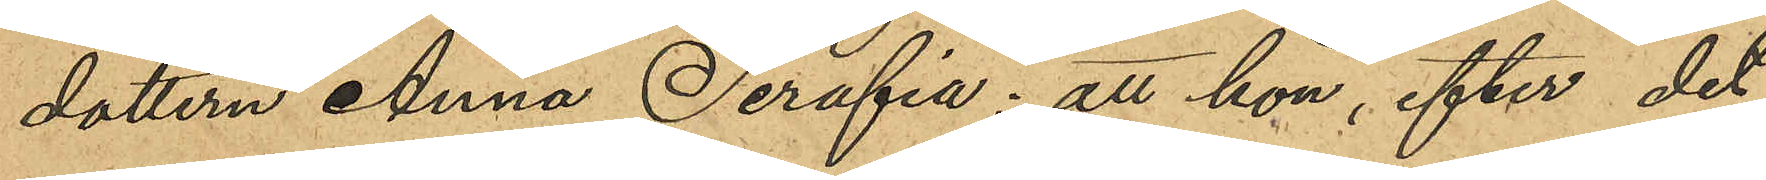dottern Anna Serafia; att hon, efter det
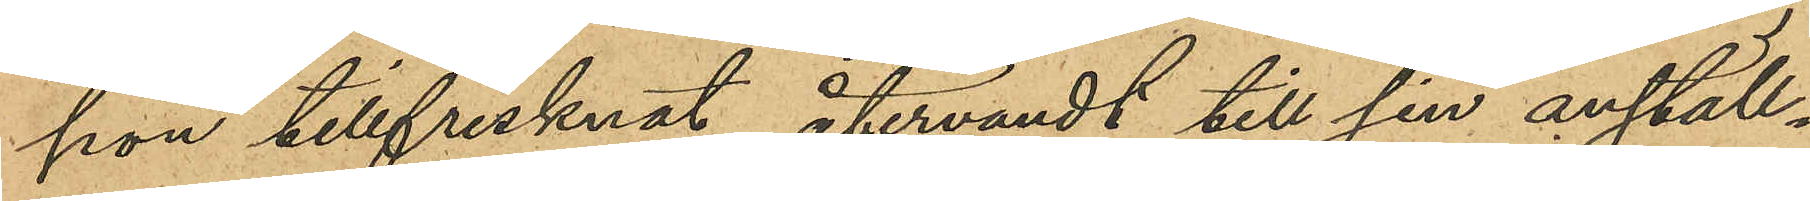hon tillfrisknat återvändt till sin anställ¬
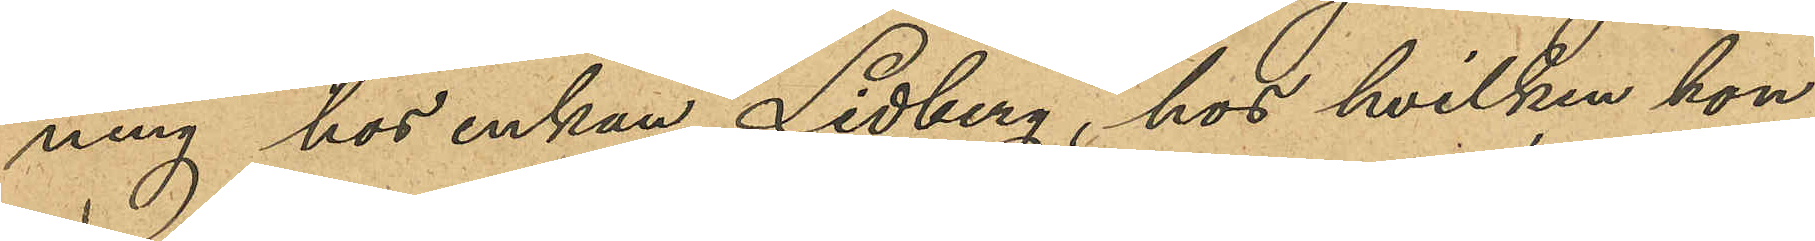ning hos enkan Lidberg, hos hvilken hon
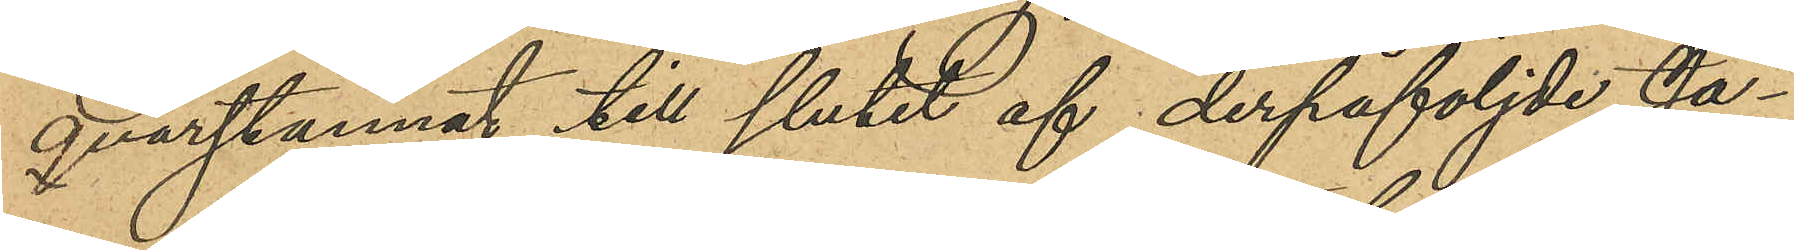qvarstannat till slutet af derpåföljde Ja¬
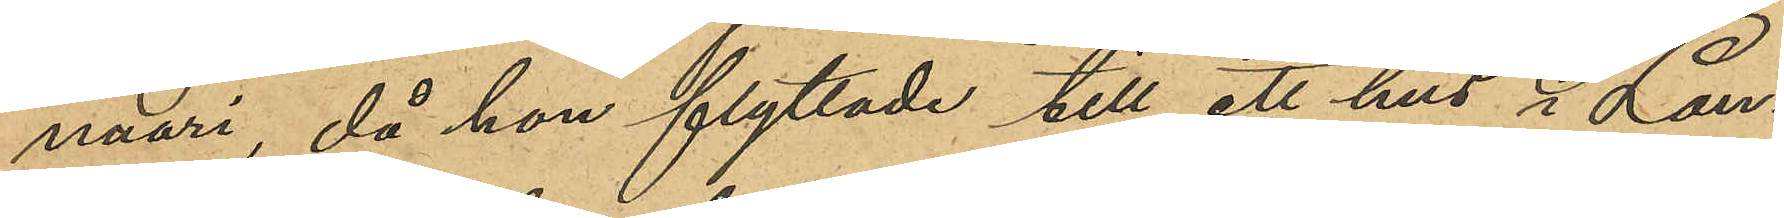nuari, då hon flyttade till ett hus i Lan¬
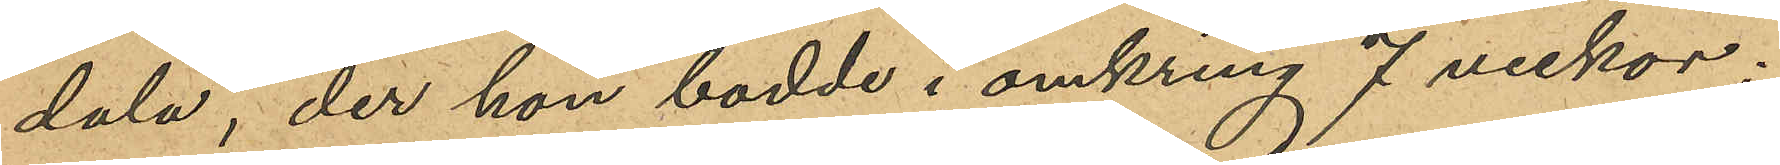dala, der hon bodde i omkring 7 veckor;
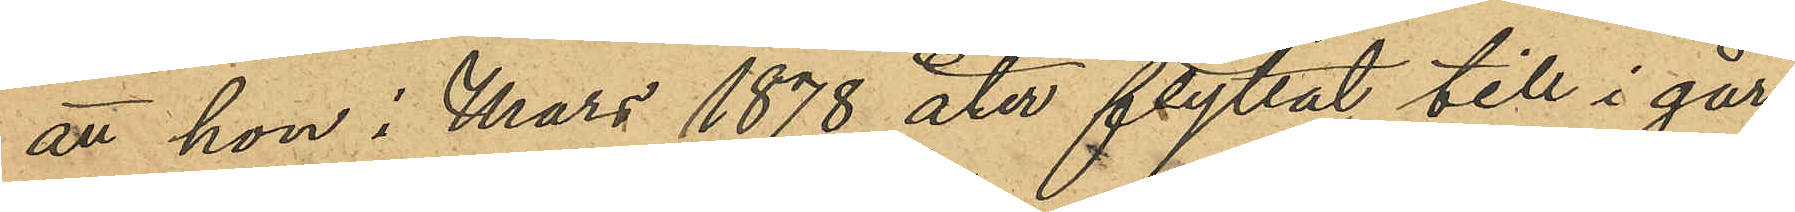att hon i Mars 1878 åter flyttat till i går¬
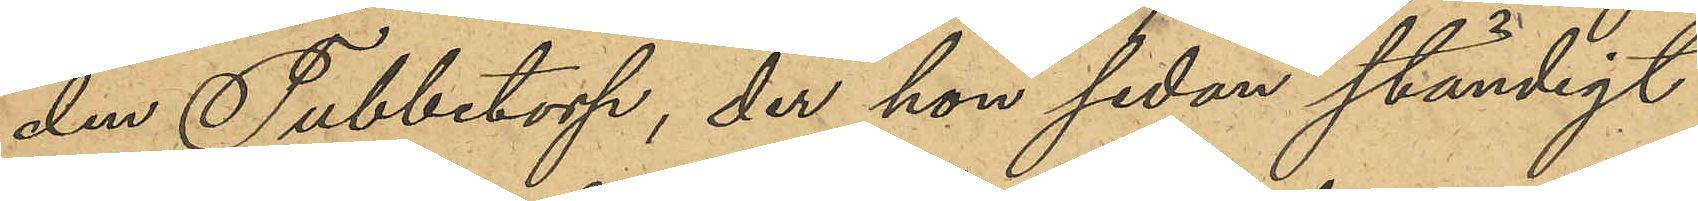den Tubbetorp, der hon sedan ständigt
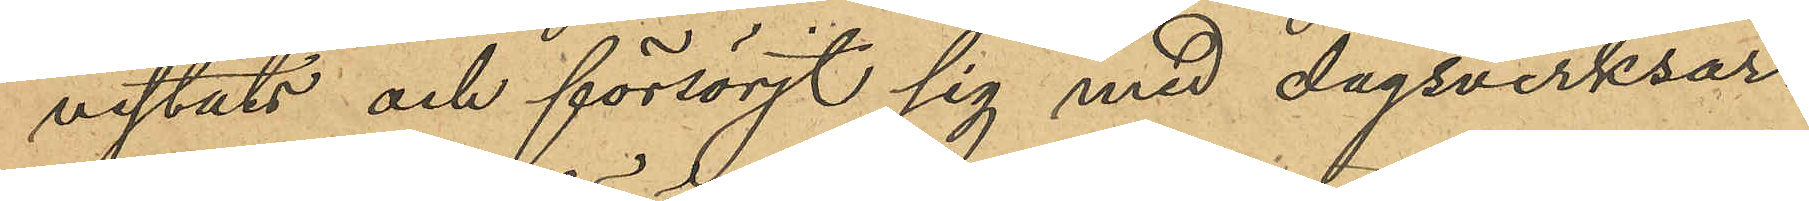vistats och försörjt sig med dagsverksar¬
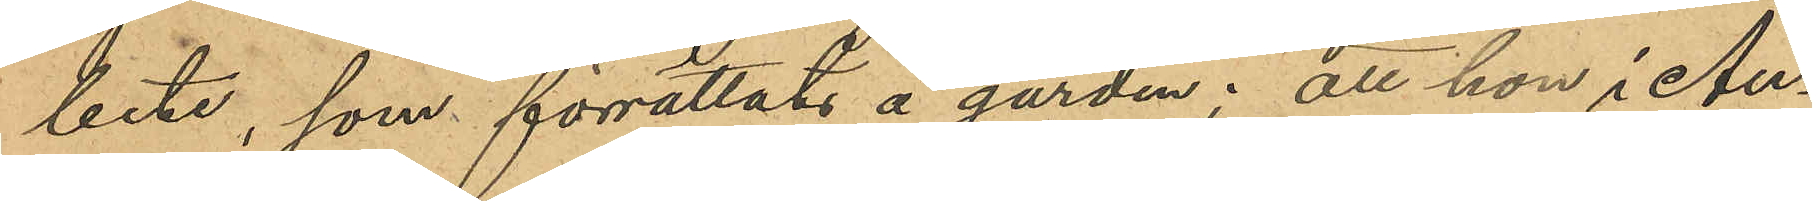bete, som förrättats å gården; att hon i An¬
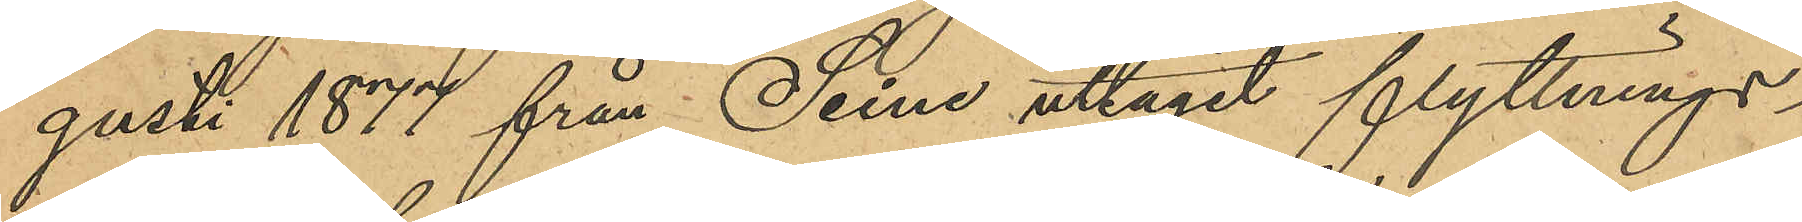gusti 1877 från Siene uttagit flyttnings¬
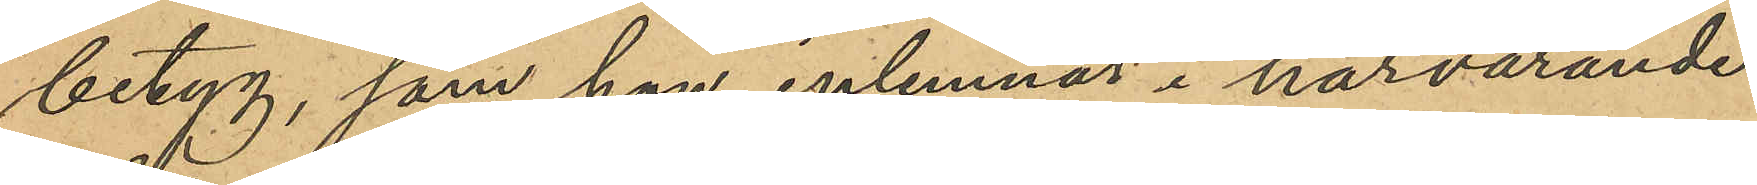betyg, som hon inlemnat i härvarande
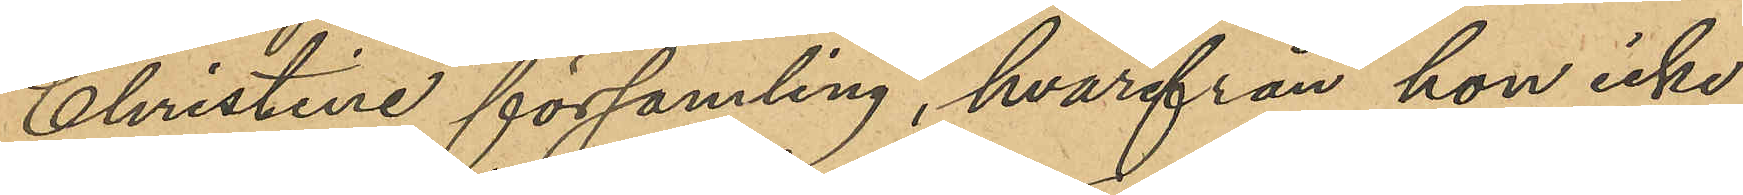Christine församling, hvarifrån hon icke
